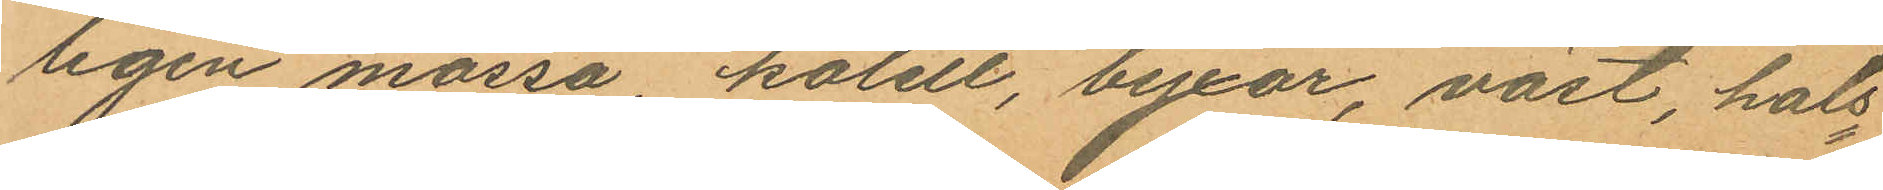ligen mössa, kolett, byxor, väst, hals¬
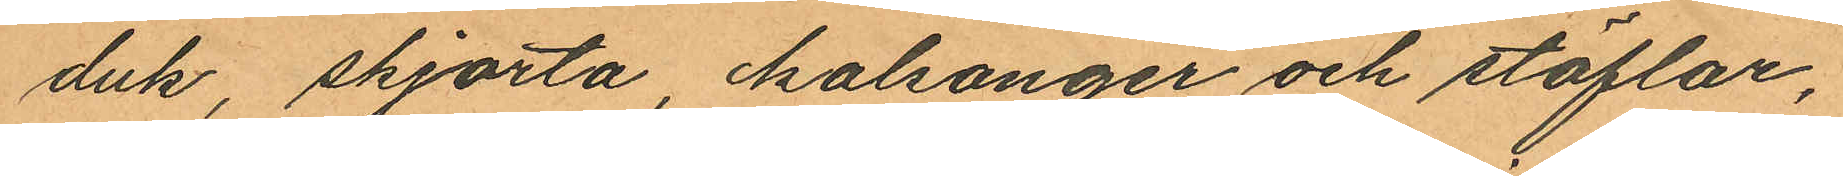duk, skjorta kalsonger och stöflar,
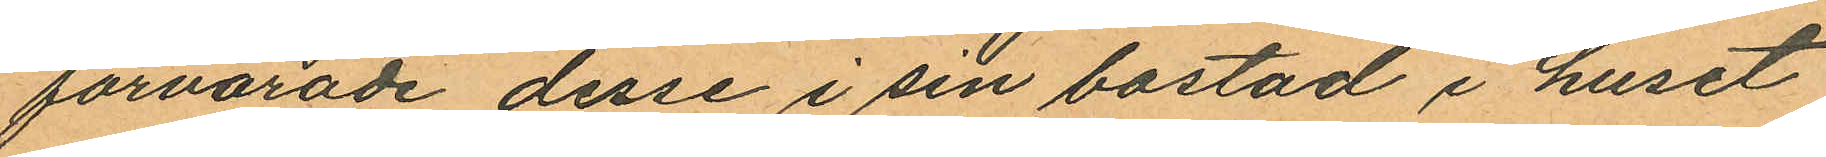förvarade desse i sin bostad i huset
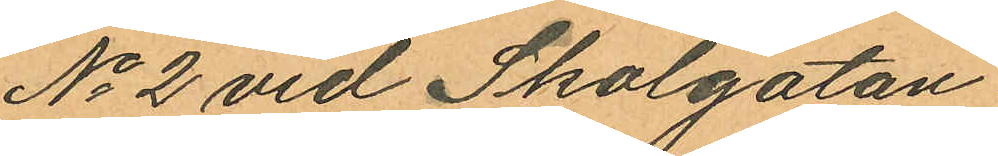No 2 vid Skolgatan.
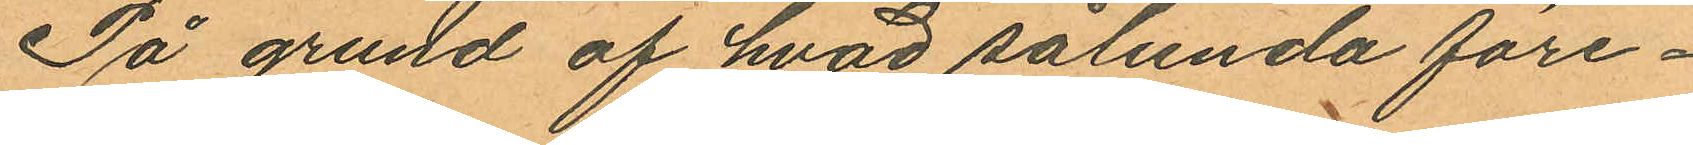På grund af hvad sålunda före¬
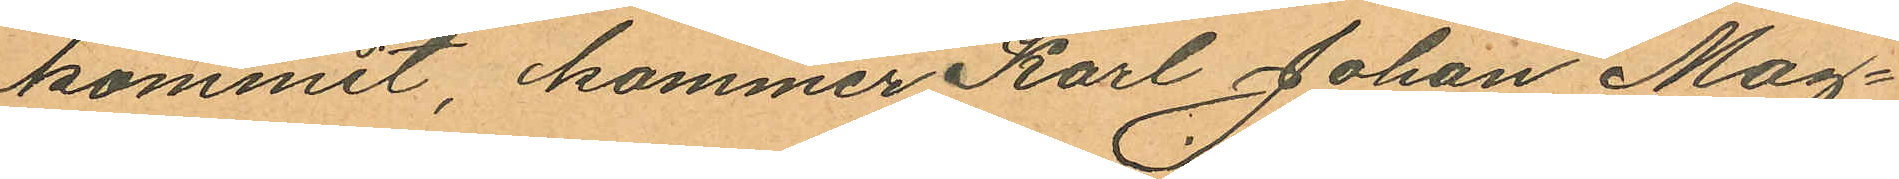kommit, kommer Karl Johan Mag¬
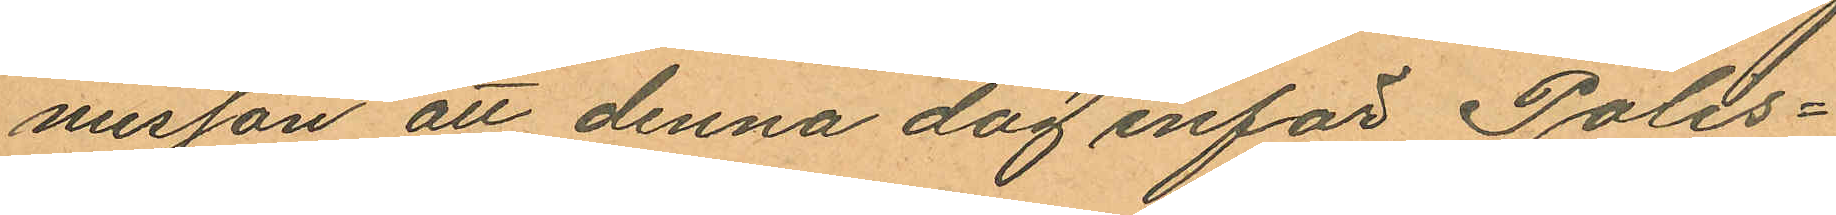nusson att denna dag inför Polis¬
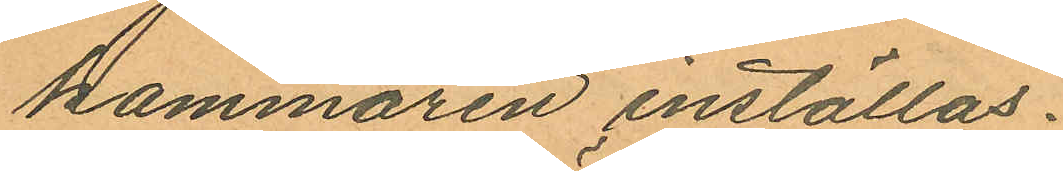kammaren inställas.
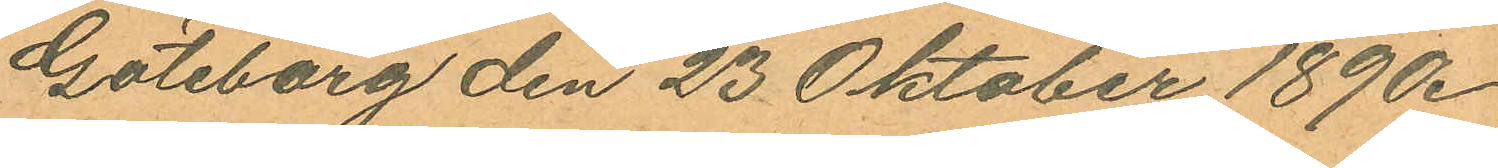Göteborg den 23 Oktober 1890.
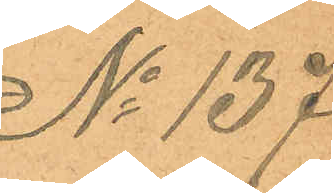No 137.
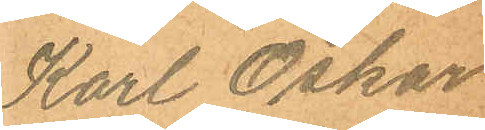Karl Oskar
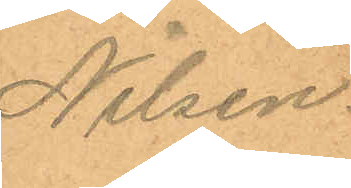Nilsen.
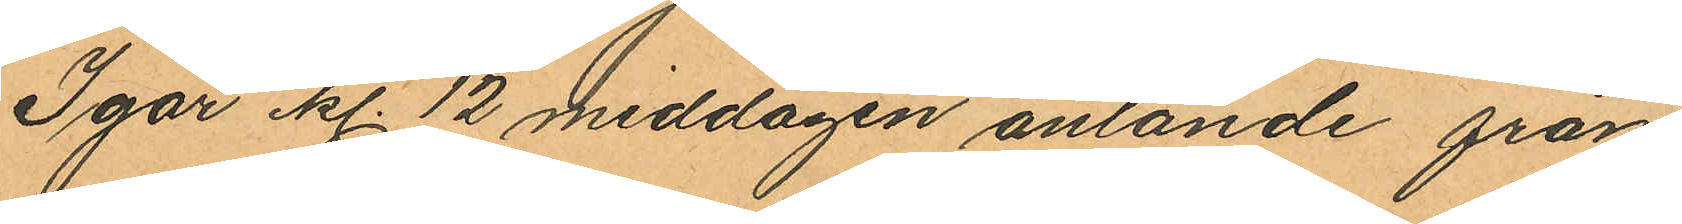Igår kl. 12 middagen anlande från
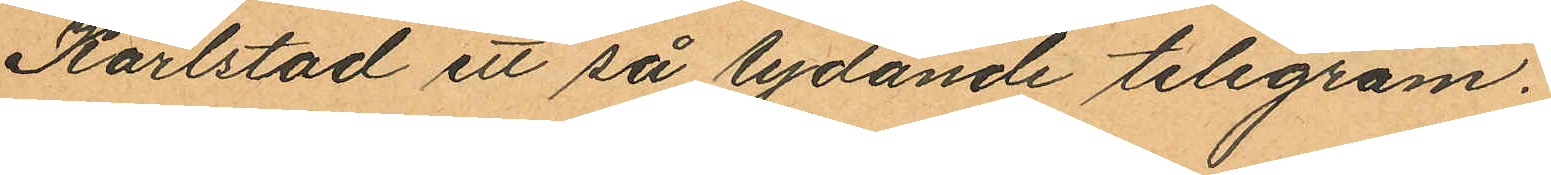Karlstad ett så lydande telegram.
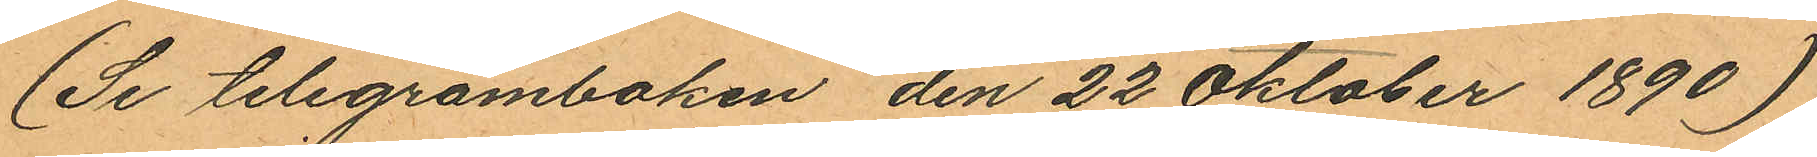(Se telegramboken den 22 Oktober 1890)
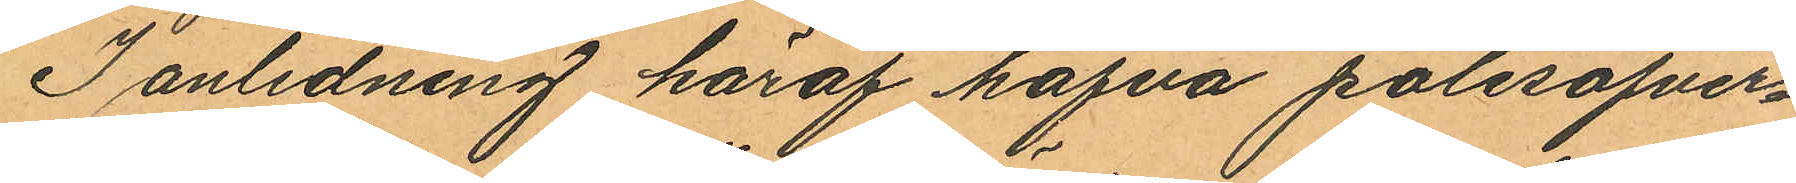I anledning häraf hafva polisöfver¬
